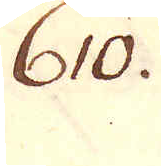610.
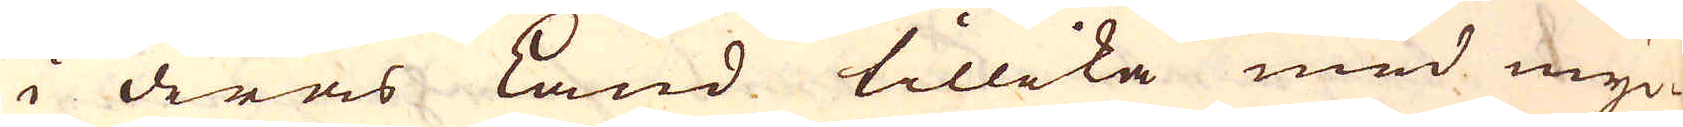i deras Land tillika med myc-
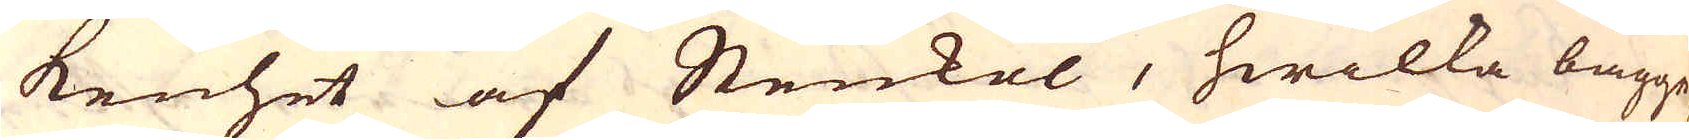kenhet af Stenkol, hwilka bägge
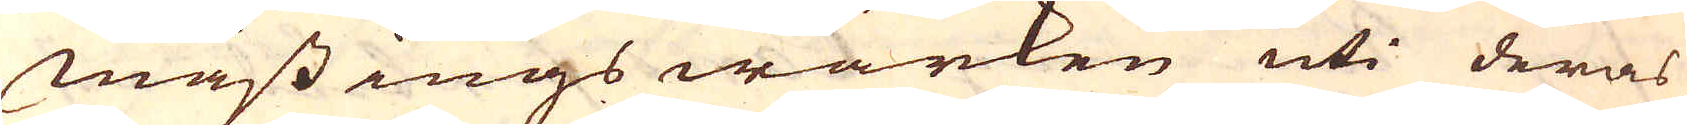Mässingswärken uti deras
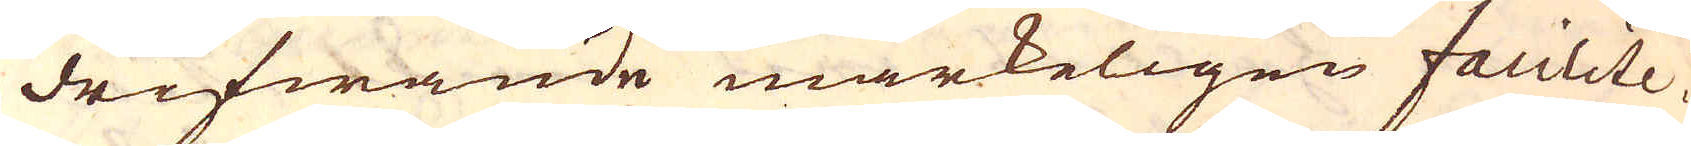drifwande märkeligen facilite-
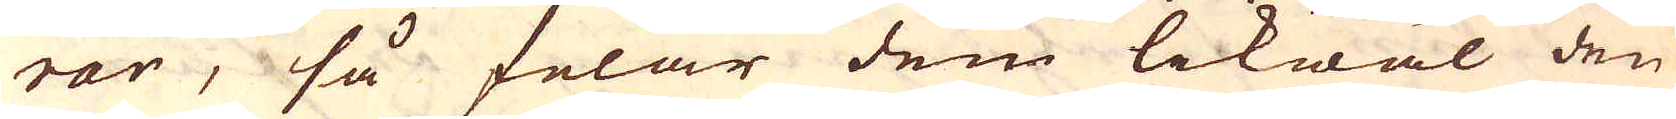rar, så felar dem likwäl den
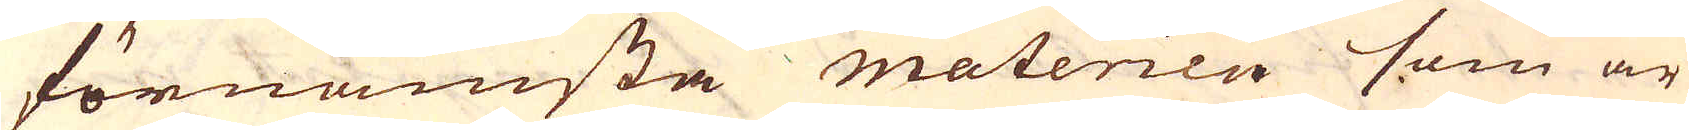förnämsta materien som är
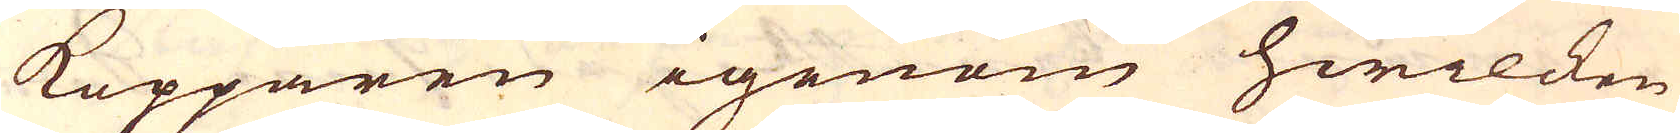Kopparen igenom hwilcken
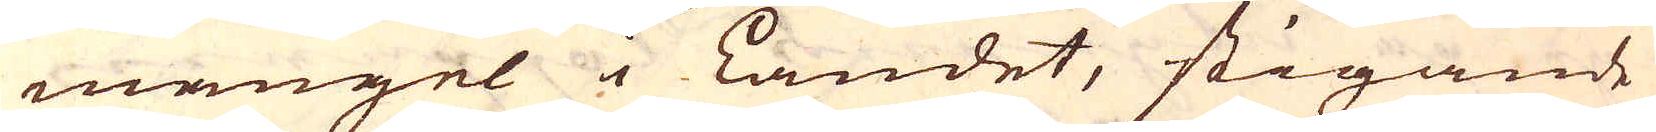mangel i Landet, stigande
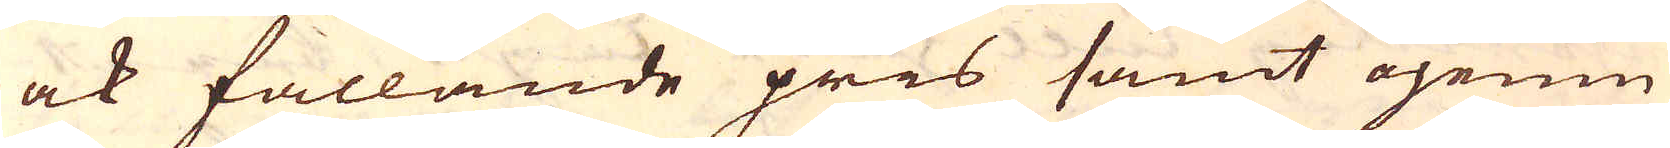ock fallande pris samt ojemn
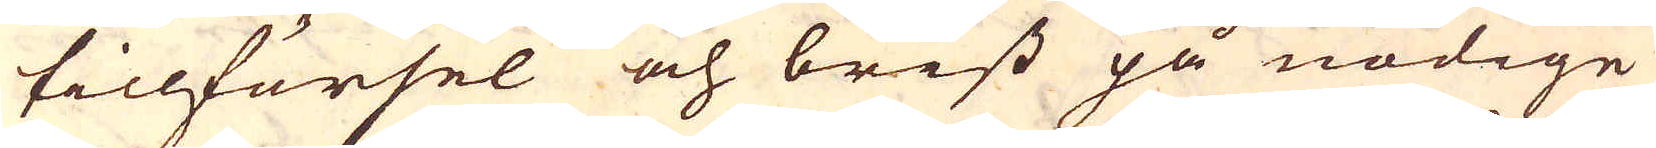tillförsel och brist på nödige
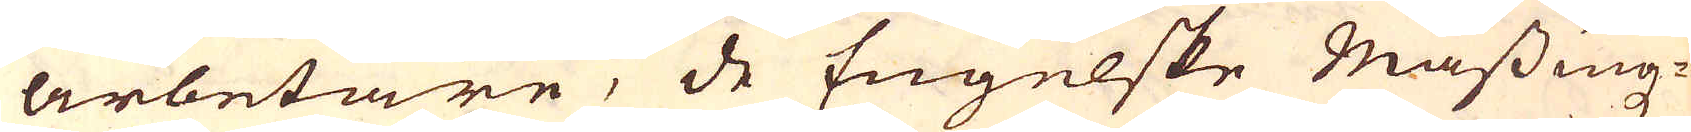arbetare, de Engelske Mässingz-
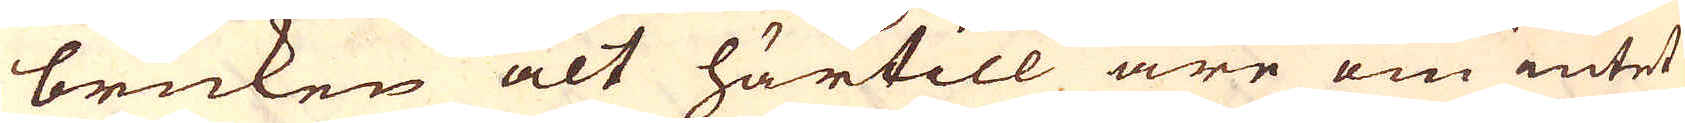bruken alt härtill äre om intet
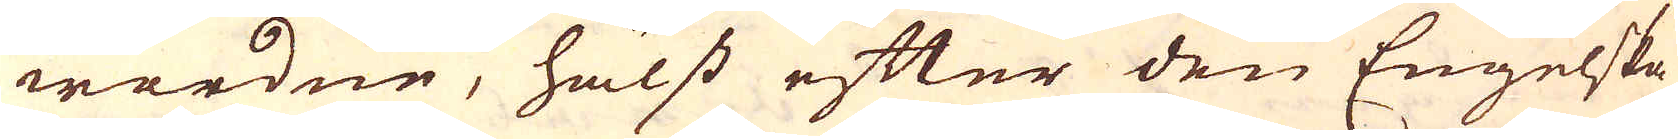wardne, hälst efter den Engelska
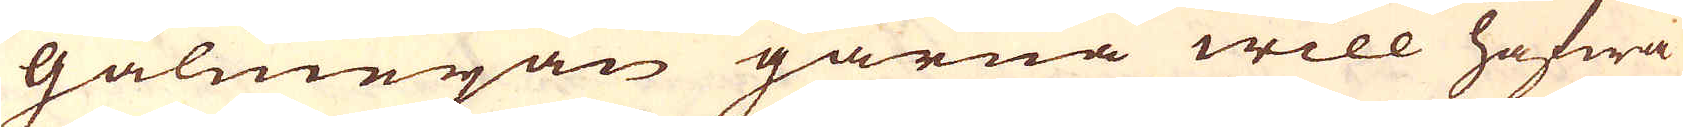Galmejan gärna will hafwa
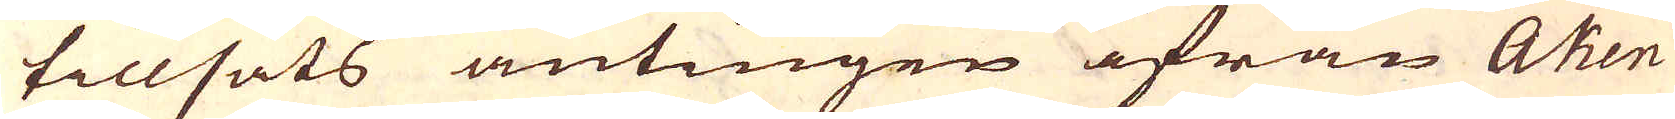tillsats antingen ifrån Aken
